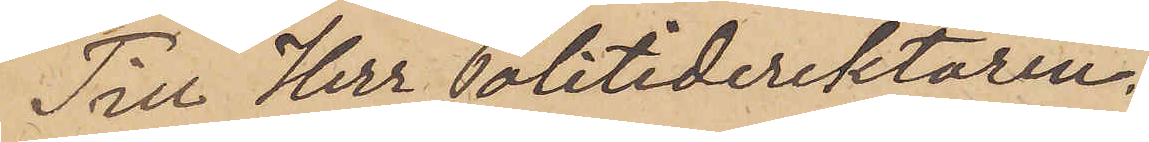Till Herr Politidirektören,
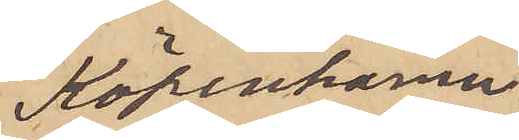Köpenhamn.
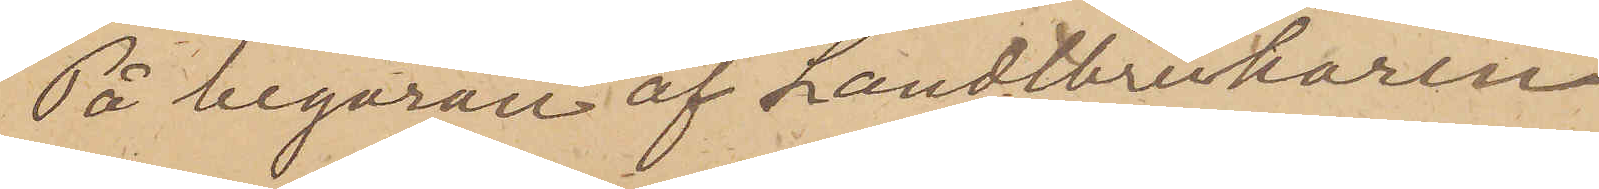På begäran af Landtbrukaren
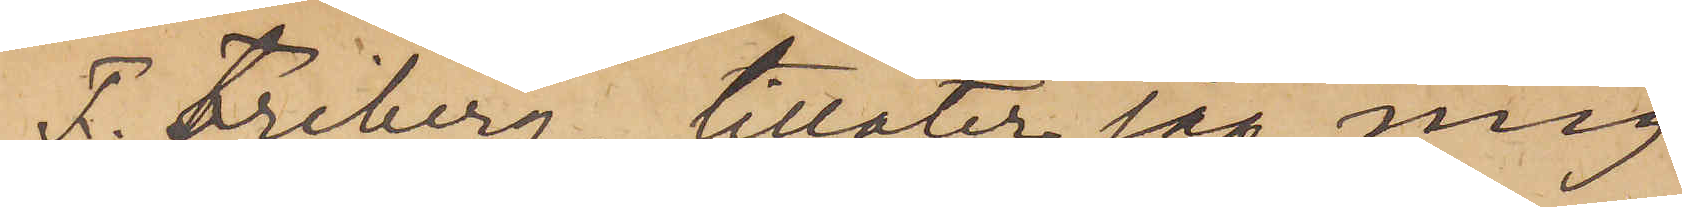F. Friberg, tillåter jag mig
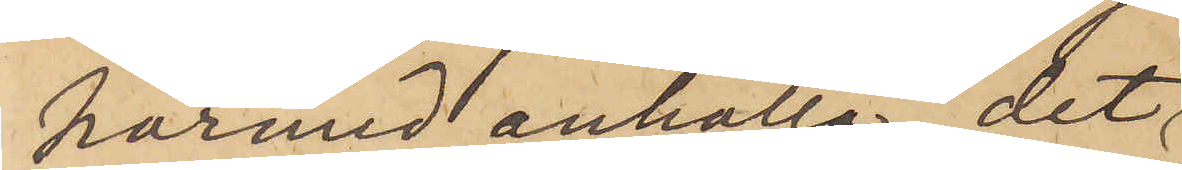härmed anhålla, det
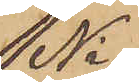Ni
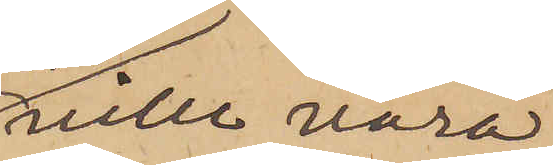ville vara
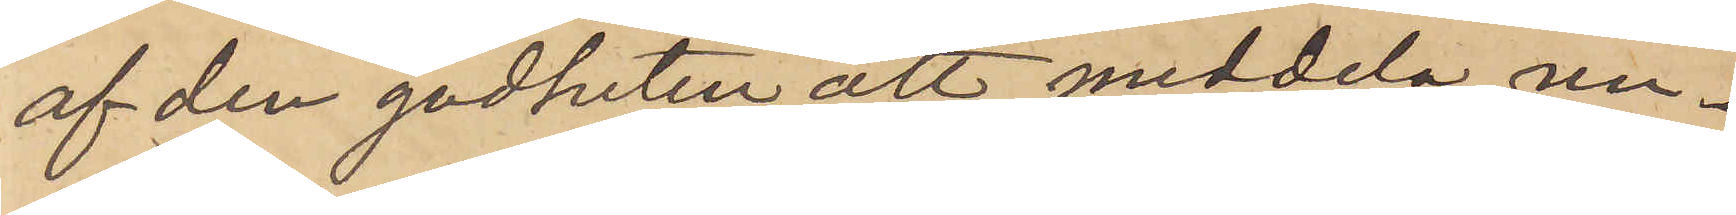af den godheten att meddela un¬
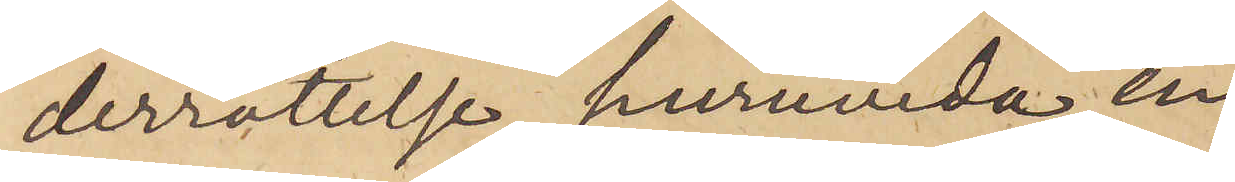derrättelse, huruvida en
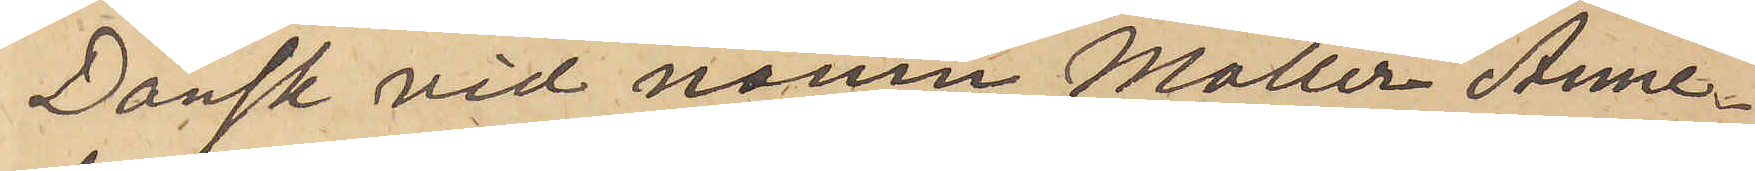Dansk vid namn Möller Anne¬
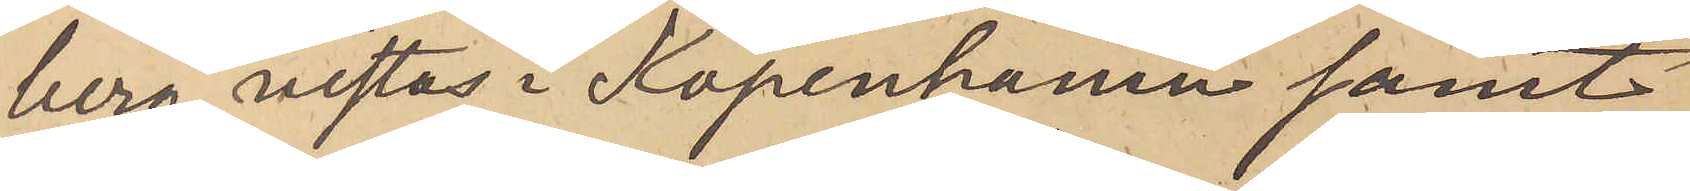berg vistas i Köpenhamn samt
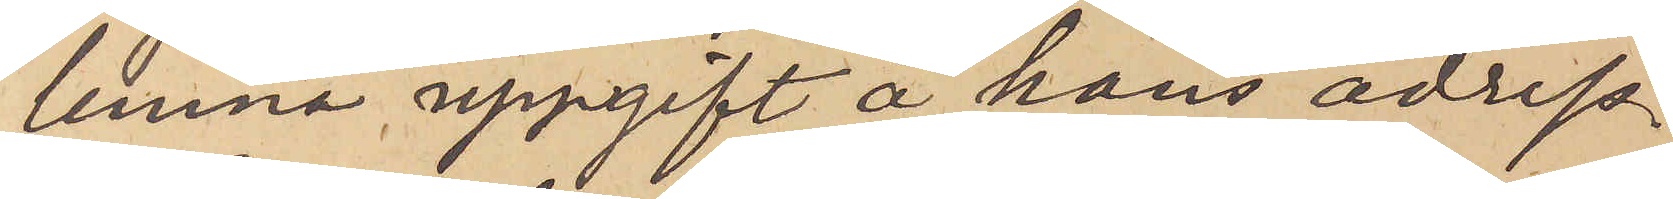lemna uppgift å hans adress.
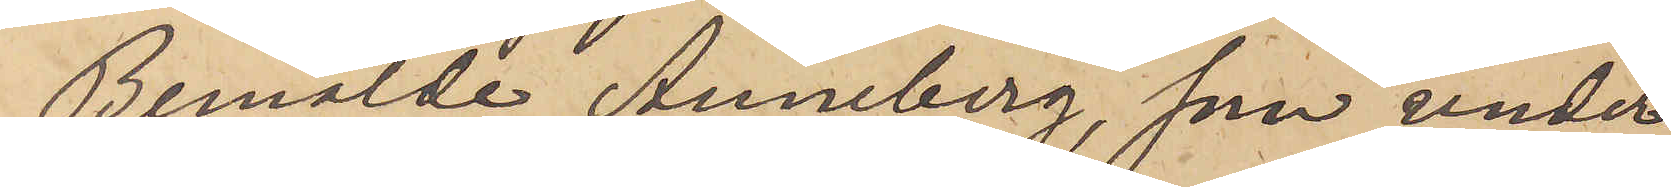Bemälde Anneberg, som under
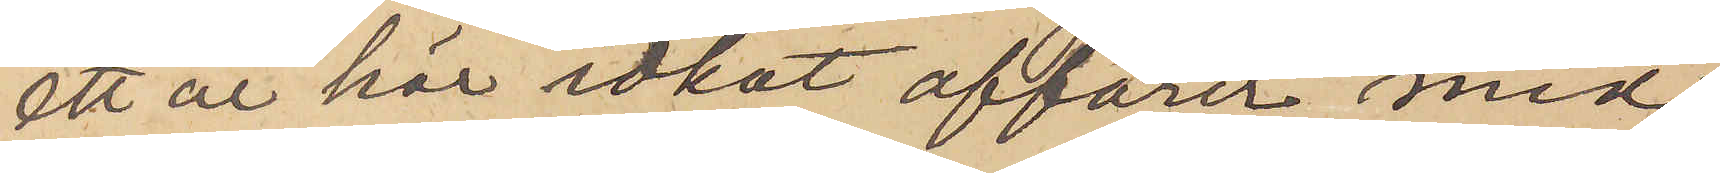ett år här idkat affärer med
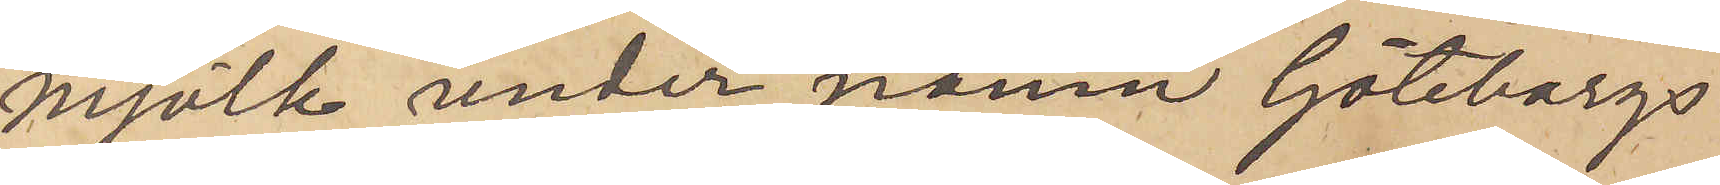mjölk under namn Göteborgs
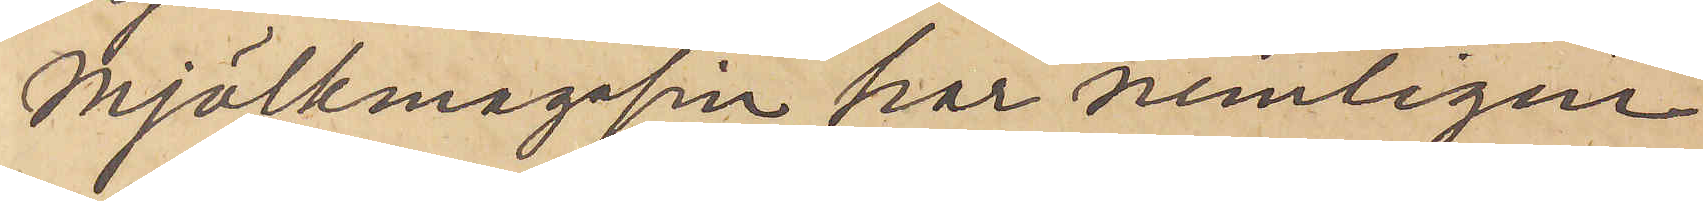Mjölkmagasin har nemligen
